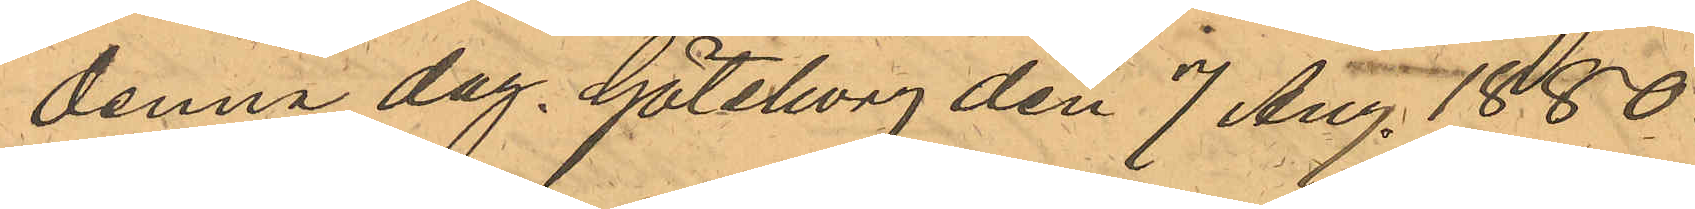denna dag. Göteborg den 7 Aug. 1880.
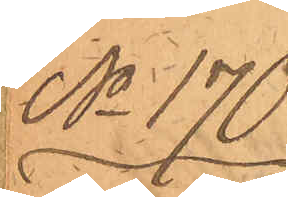No 170
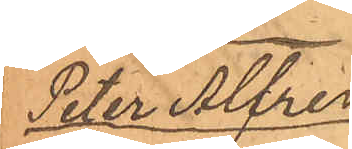Peter Alfred
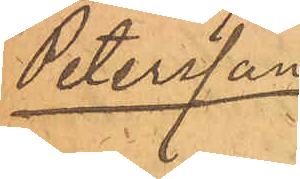Petersson
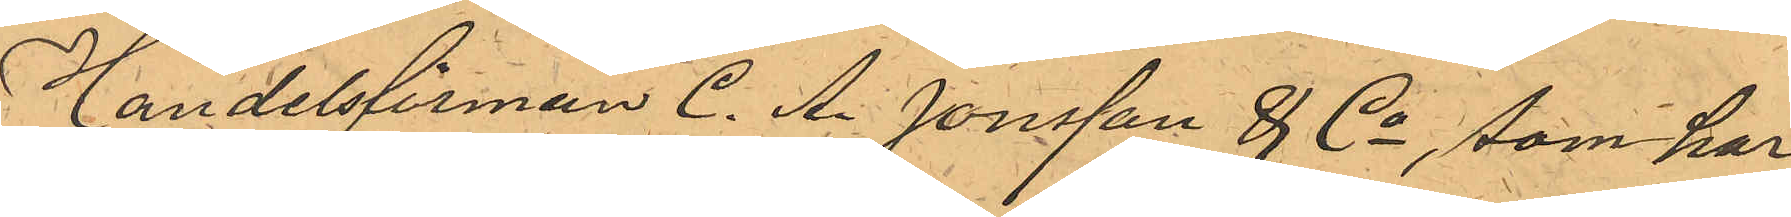Handelsfirman C. A. Jonsson & Co, som har
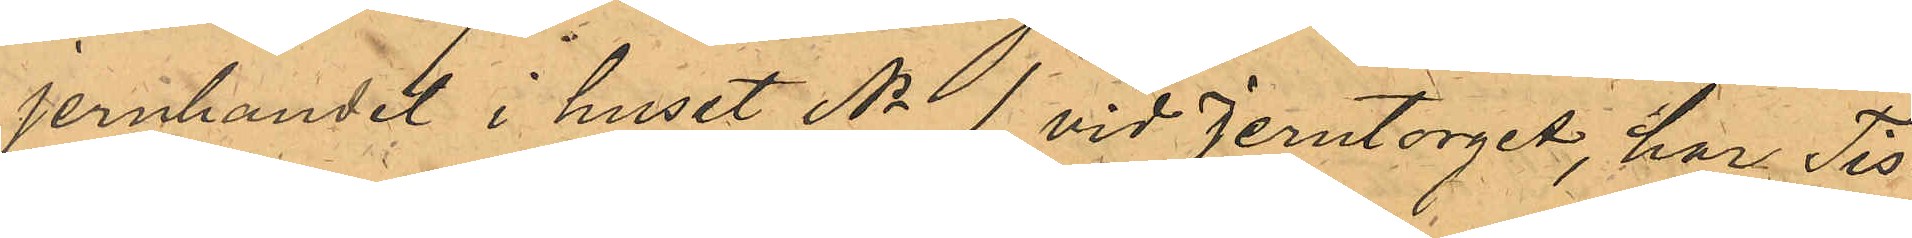jernhandel i huset No 1 vid Jerntorget, har Tis¬
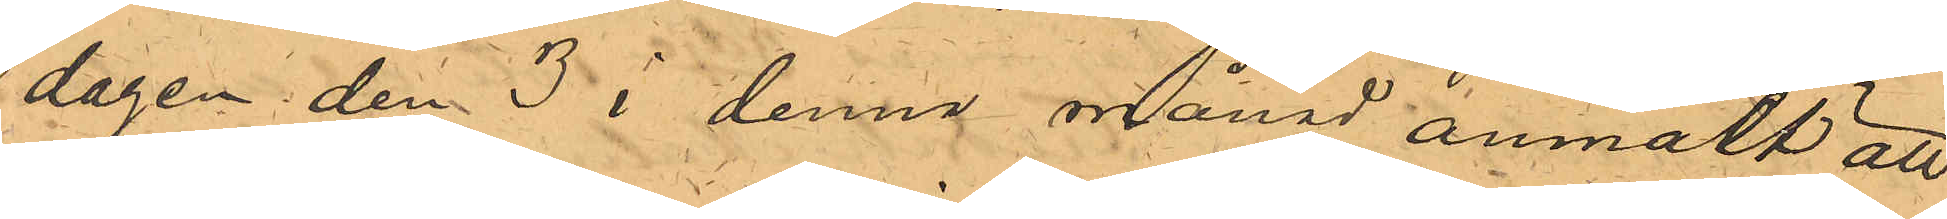dagen den 3 i denna månad anmält att
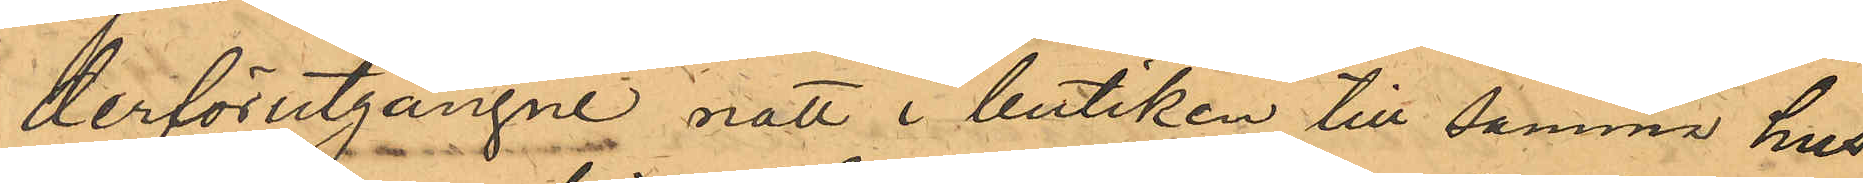derförutgångne natt i butiken till samma hus
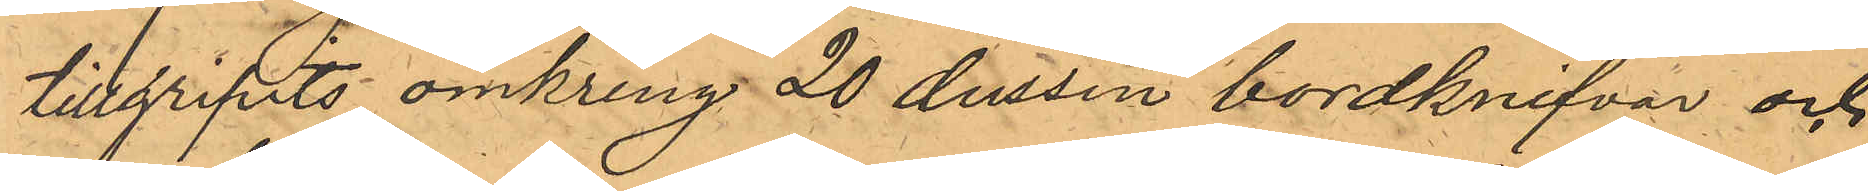tillgripits omkring 20 dussin bordknifvar och
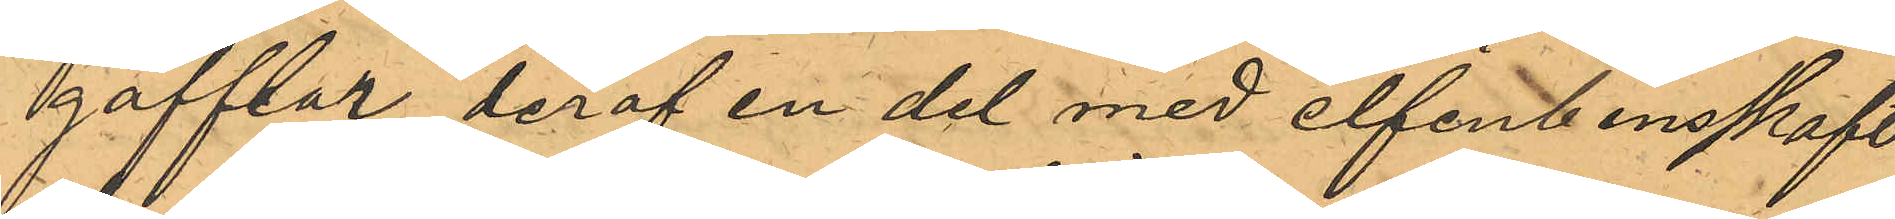gafflar, deraf en del med elfenbensskaft
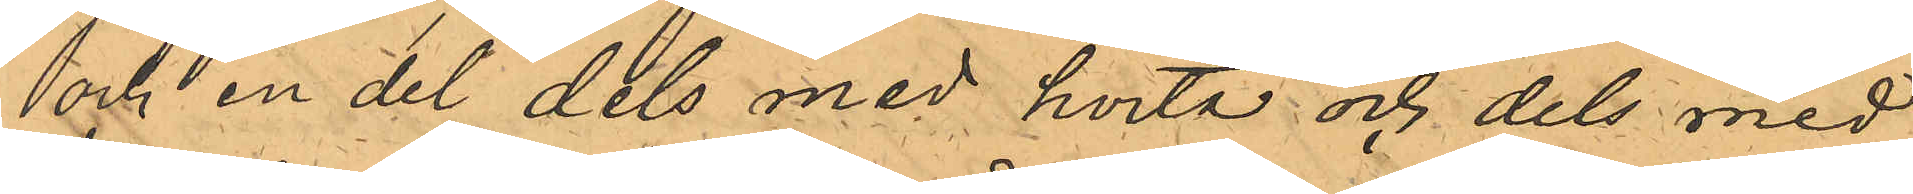och en del dels med hvita och dels med
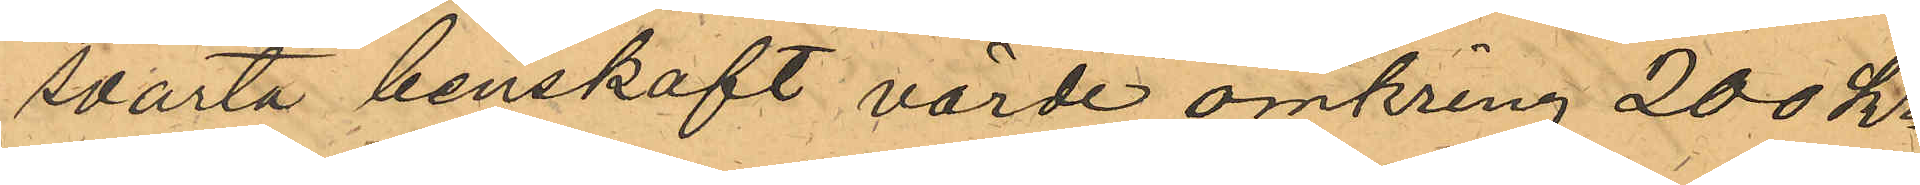svarta benskaft värde omkring 200 kr
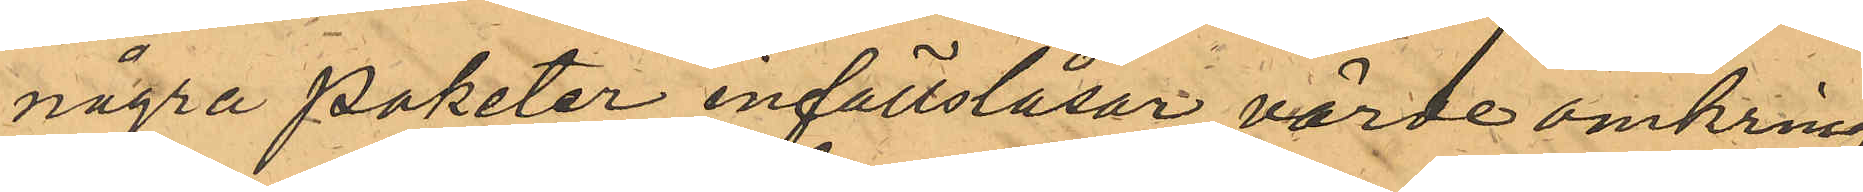några paketer infällslåsar, värde omkring
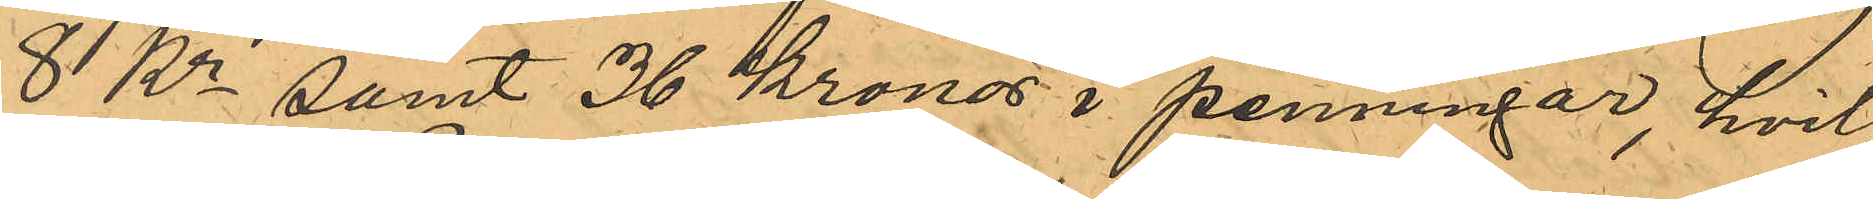8 Kr samt 36 Kronor i penningar, hvil¬
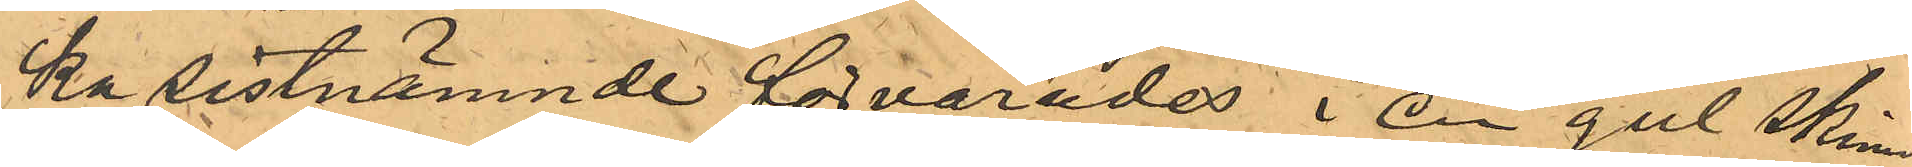ka sistnämnde förvarades i en gul skinn¬
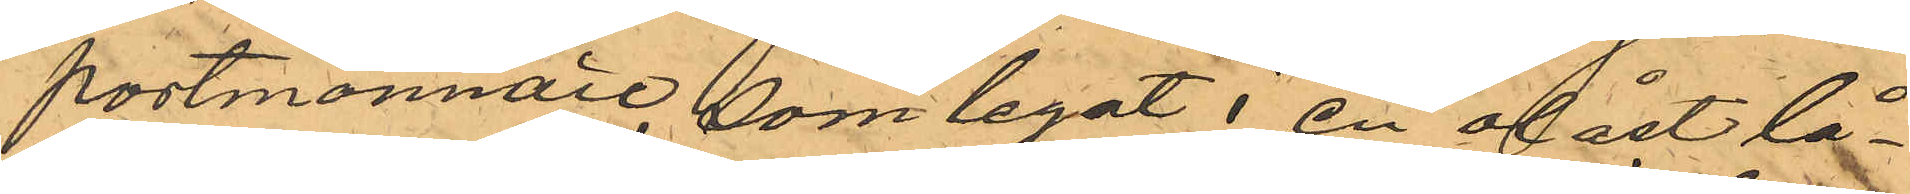portmonnaie, som legat i en olåst lå¬
